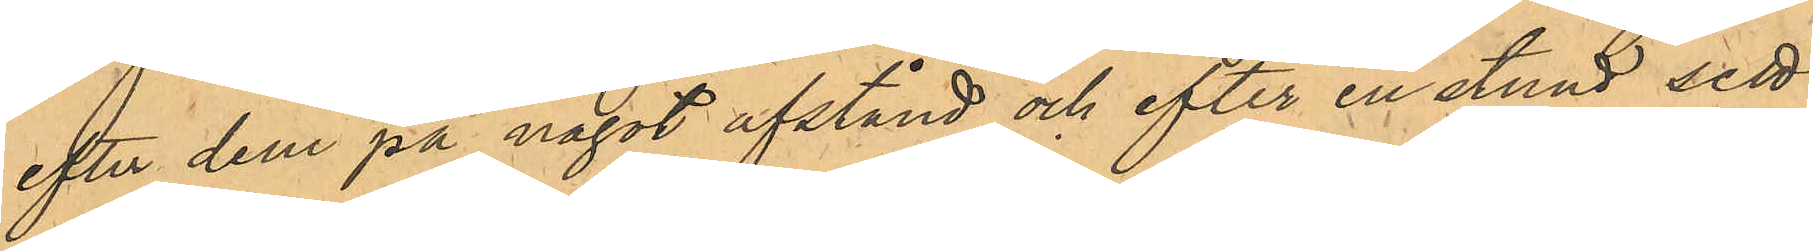efter dem på något afstånd och efter en stund sett
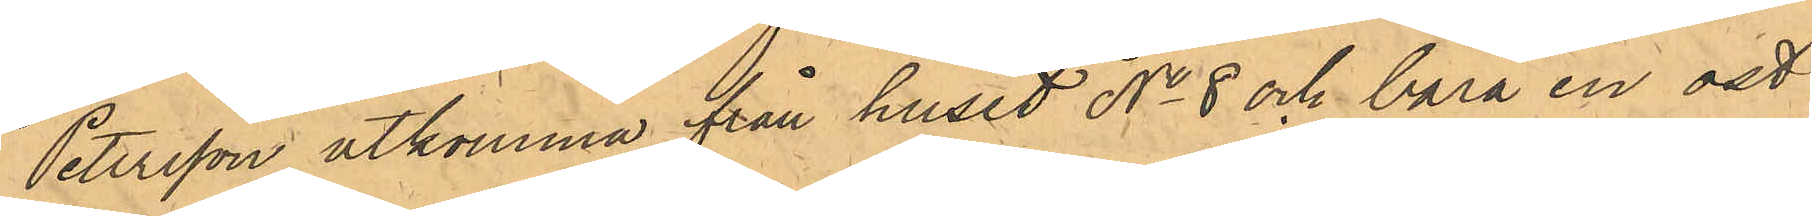Petersson utkomma från huset No 8 och bära en ost
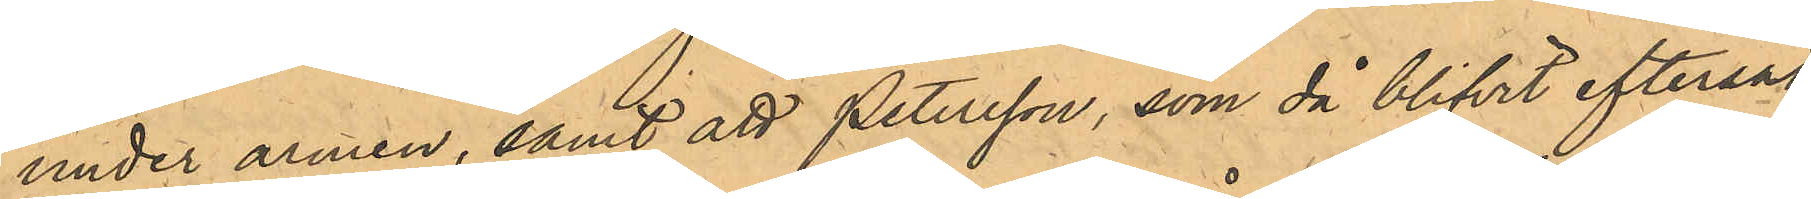under armen, samt att Petersson, som då blifvit eftersatt
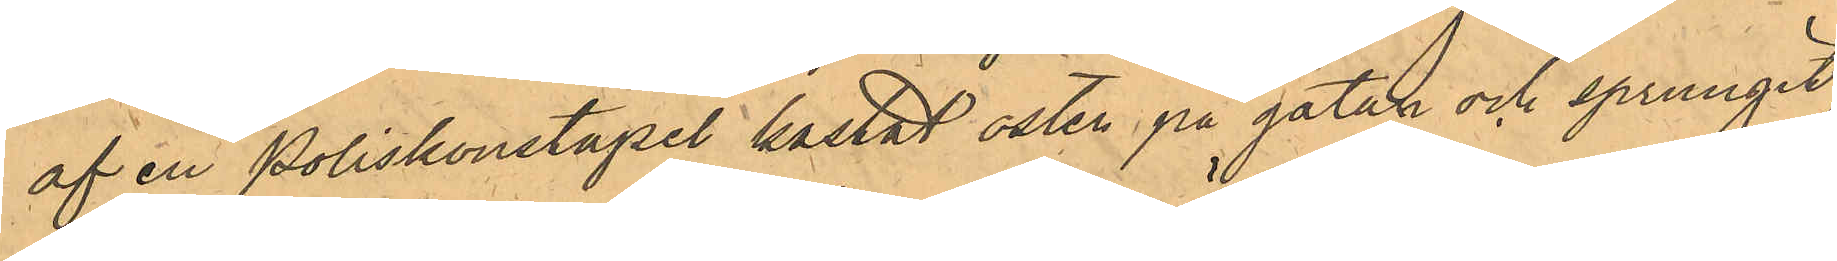af en Poliskonstapel kastat osten på gatan och sprungit,
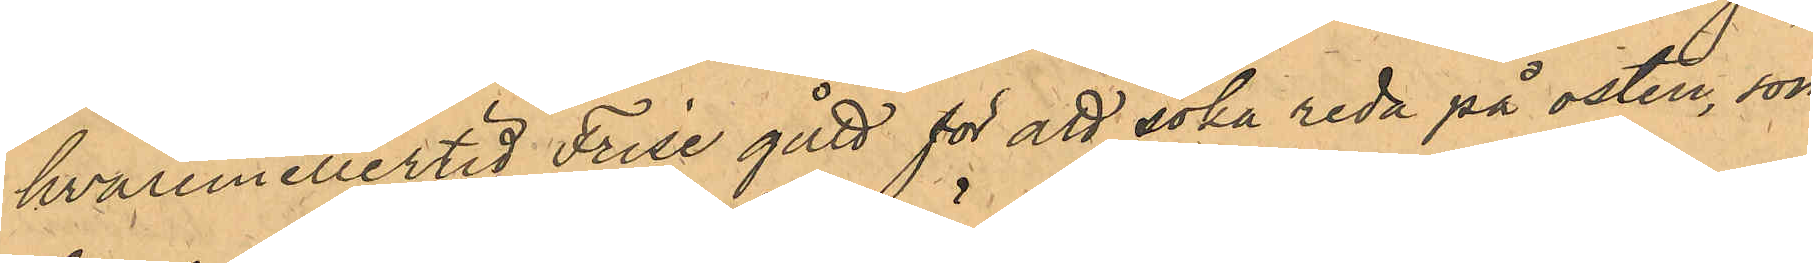hvaremellertid Frise gått för att söka reda på osten, som
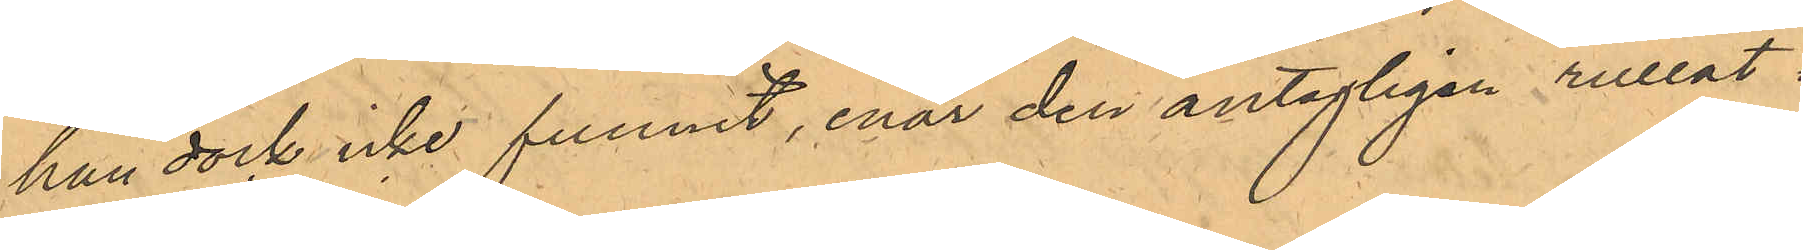han dock icke funnit, enär den antagligen rullat i
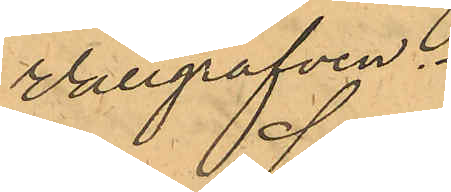Vallgrafven.
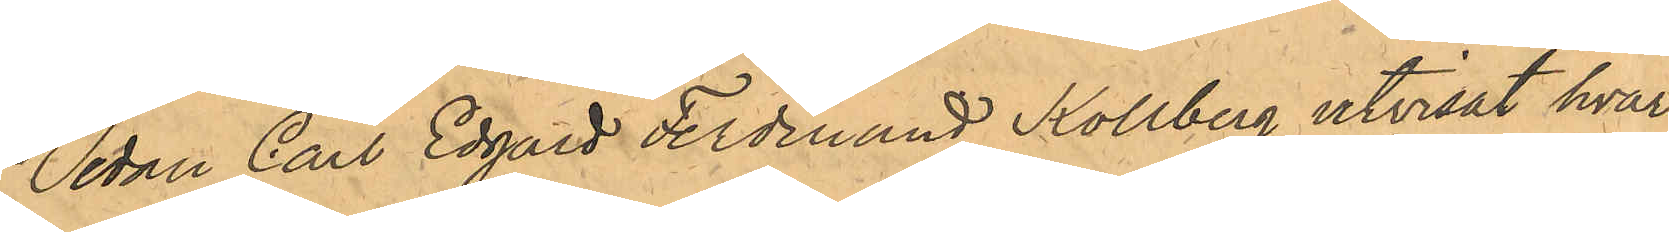Sedan Carl Edgard Ferdinand Kollberg utvisat hvar¬
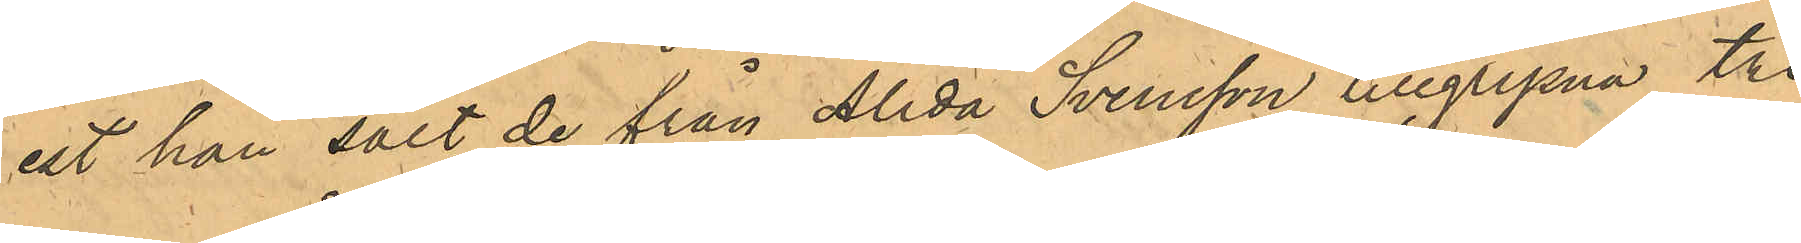est han sålt de från Alida Svensson tillgripne tre
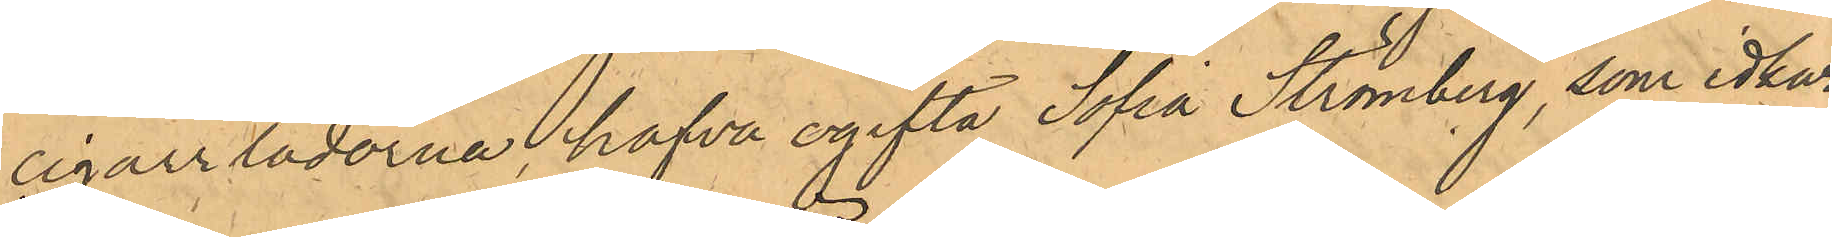cigarrlådorna, hafva ogifta Sofia Strömberg, som idkar
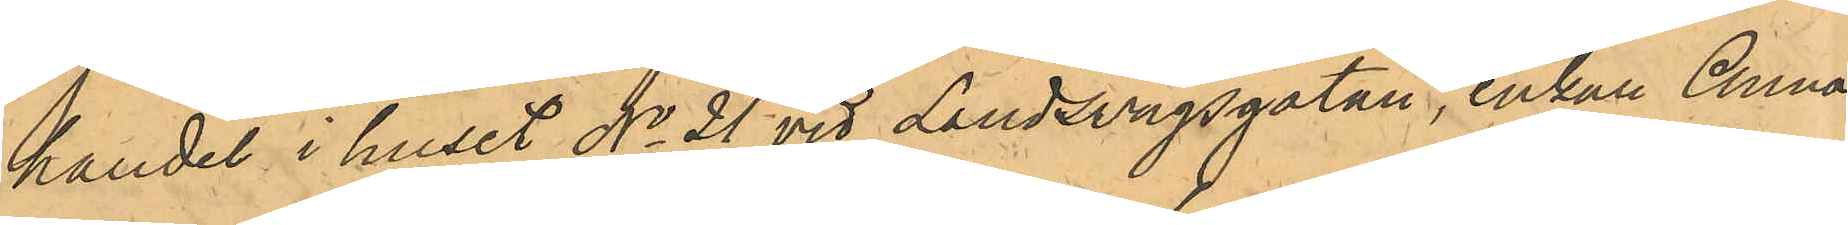handel i huset No 21 vid Landsvägsgatan, enkan Anna
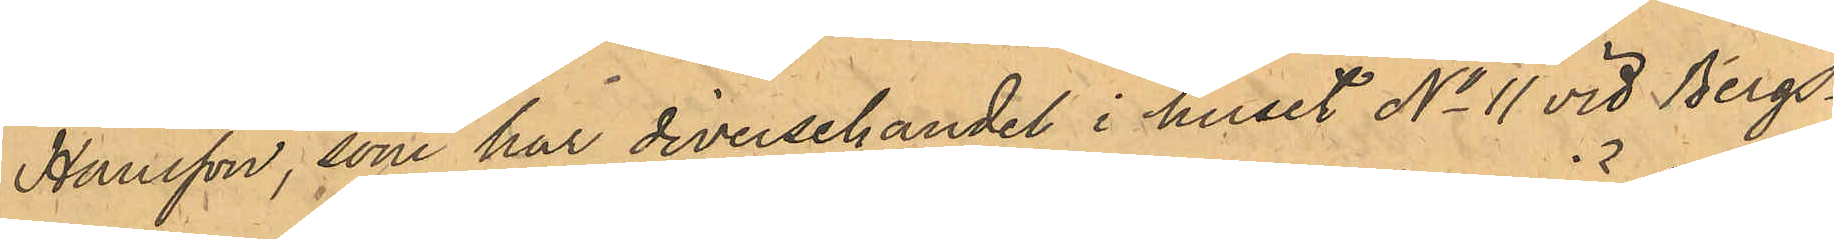Hansson, som har diversehandel i huset No 11 vid Bergs¬
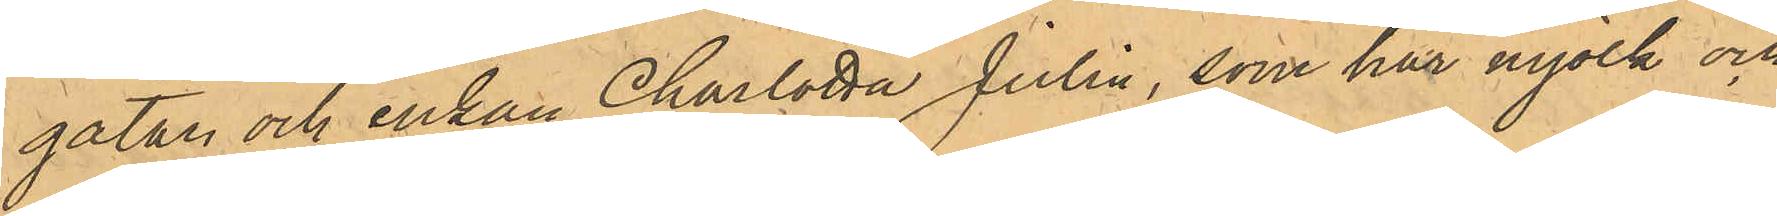gatan och Enkan Charlotta Julin, som har mjölk och
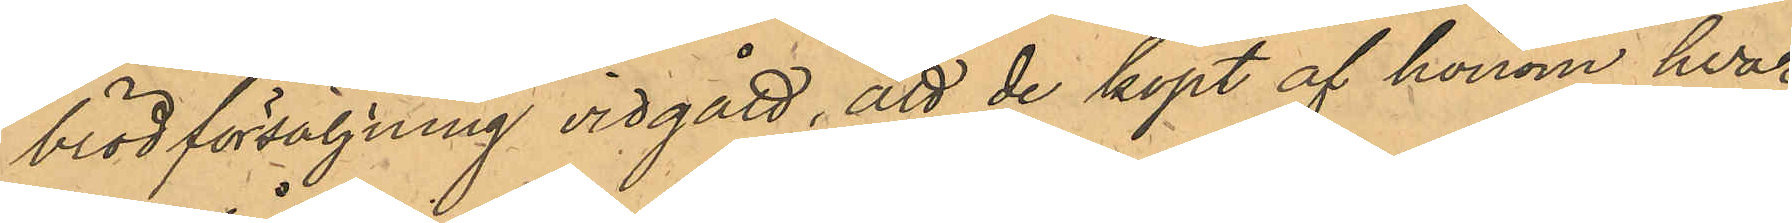brödförsäljning vidgått, att de köpt af honom hvar 
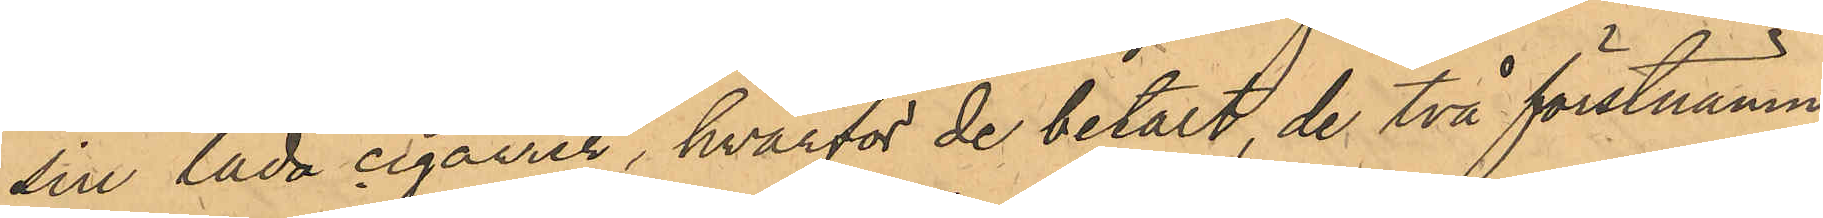sin låda cigarrer, hvarför de betalt, de två förstnämn¬
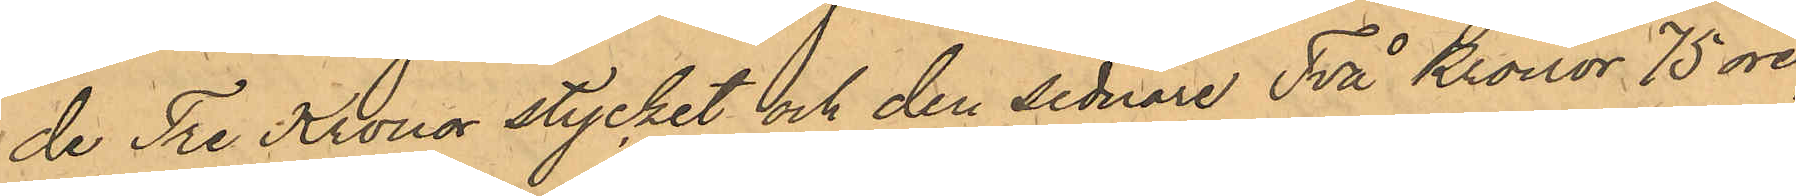de Tre Kronor stycket och den sednare Två Kronor 75 öre,
